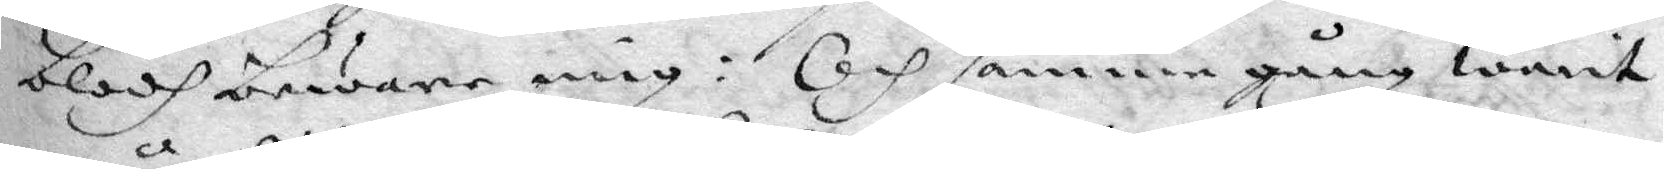blodh beware mig: och samma gång warit
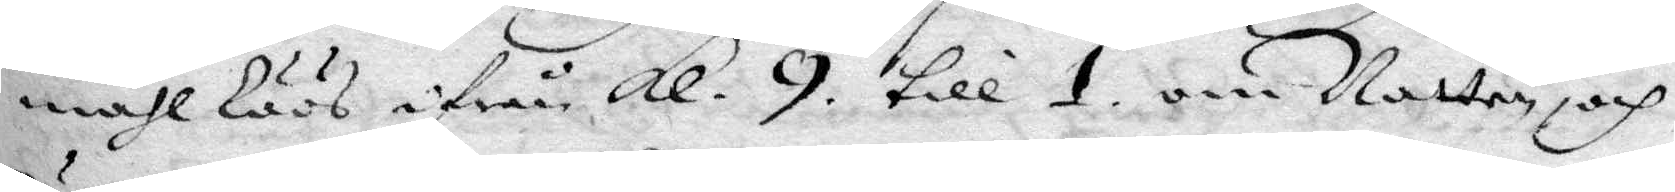måhl löös ifrån Kl. 9. till 1. om Natten, och
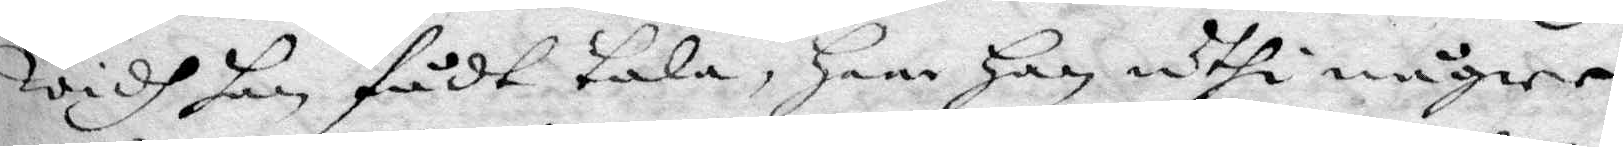widh han fådt tala, Har Han uthi någre
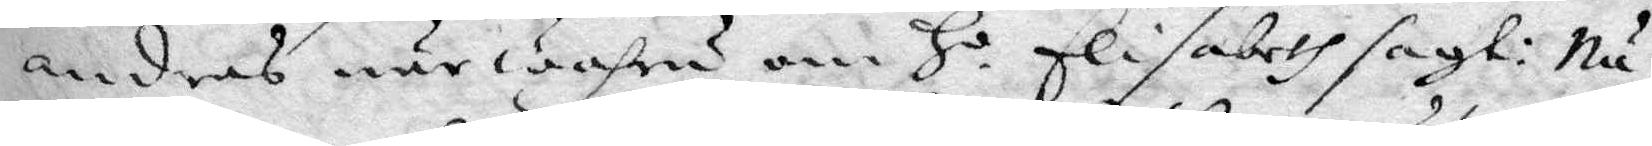andras närwahru om Ho Elisabeth sagt: Nu
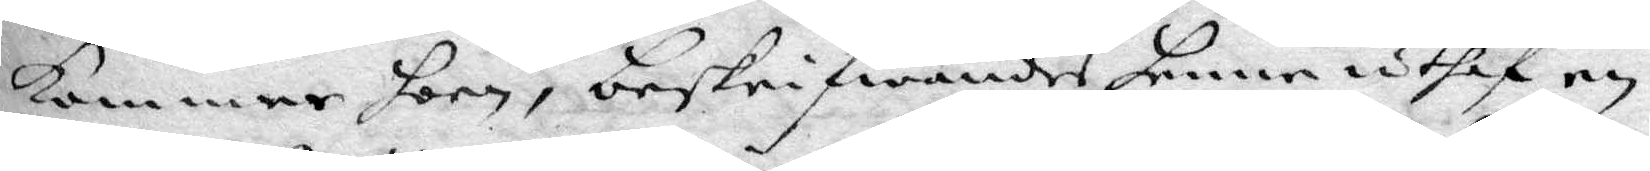kommer hon, beskrifwandes henne uthaf en
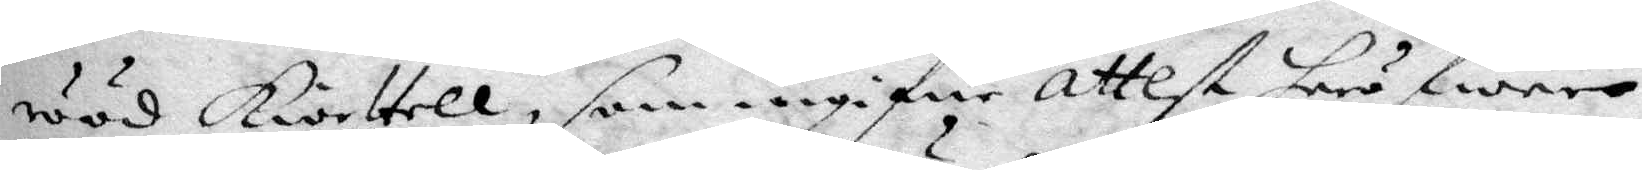rööd Kiortell, som angifne attest heröfwer
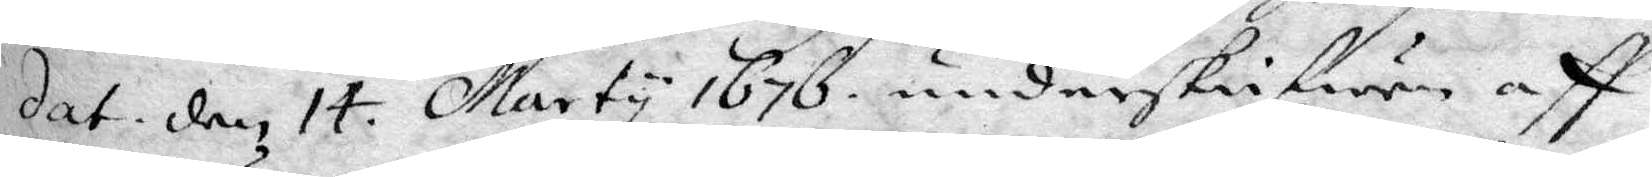dat. den 14. Marty 1676 underskrifwen aff
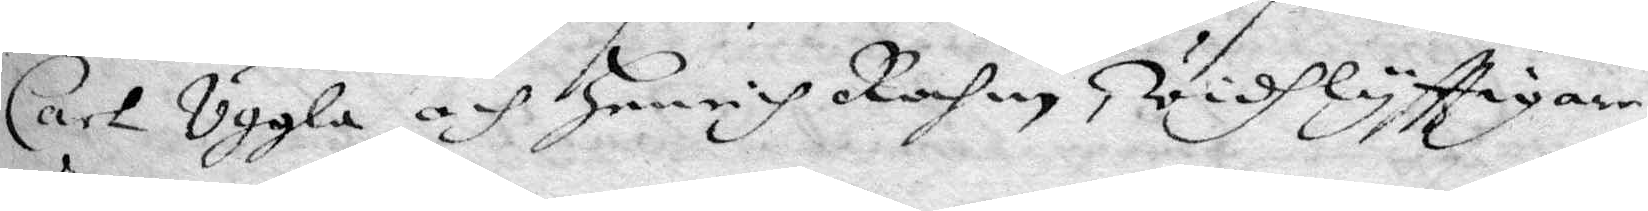Carl Uggla och Henrich Rochen Widhlyfttigare
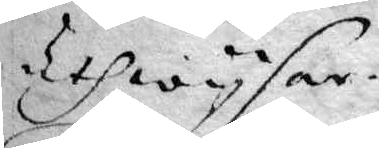Utwysar.
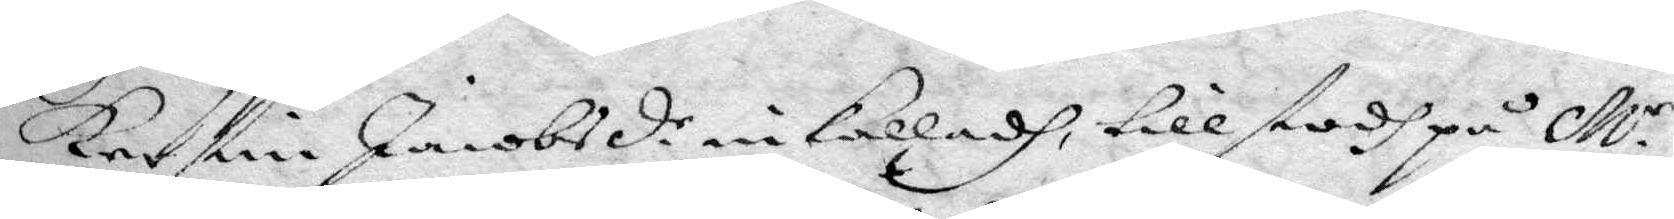Kerstin Jacobsdr. inkalladh tillstodh på Mr
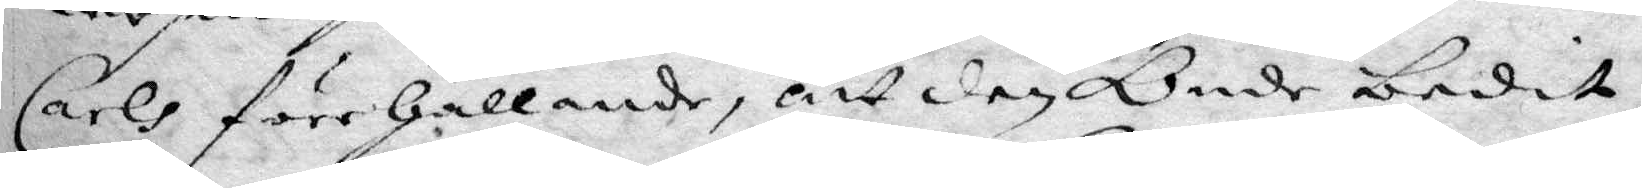Carls förehållande, att den Onde bedit
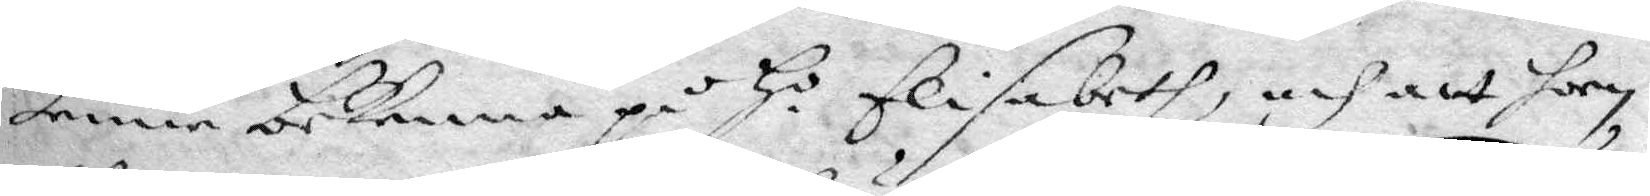henne bekenna på Ho Elisabeth och att hon
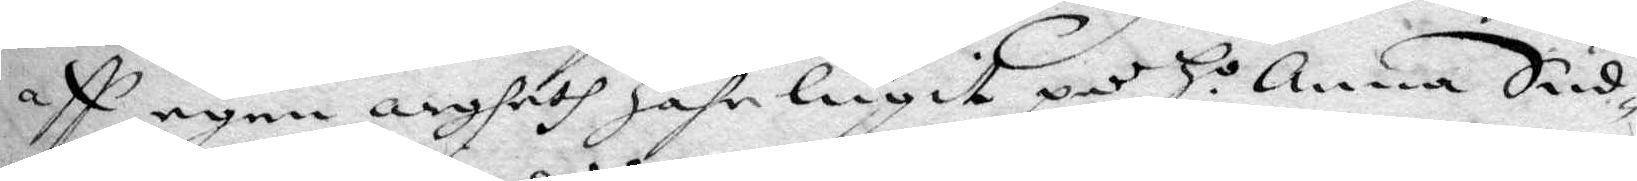aff egen argheth hahr lugit på Ho Anna Sud¬
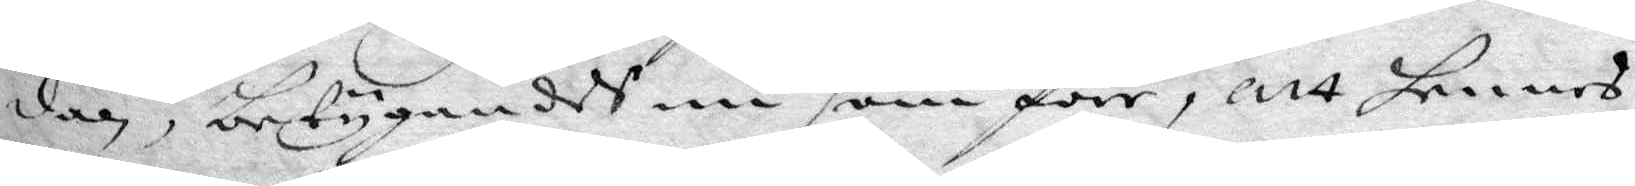dar, betygandes nu som förr, att hennes
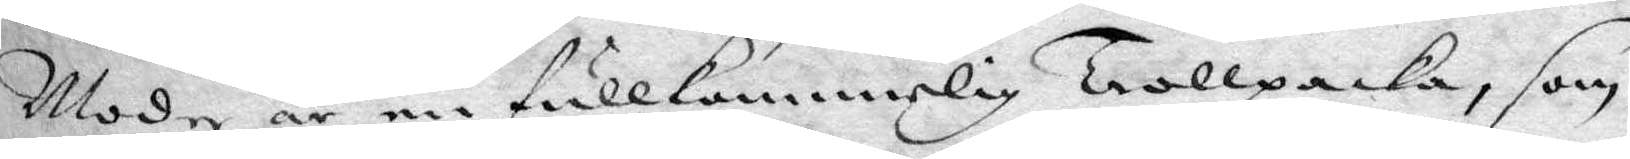Moder är en fullkommerlig Trollpacka, som
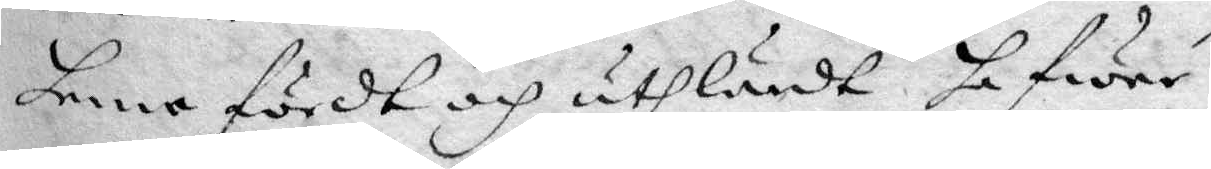henne fördt och uthlärdt hafwer.
